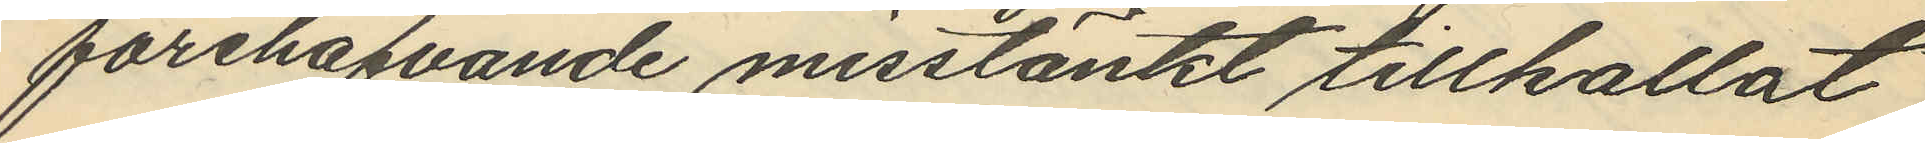förehafvande misstänkt tillkallat
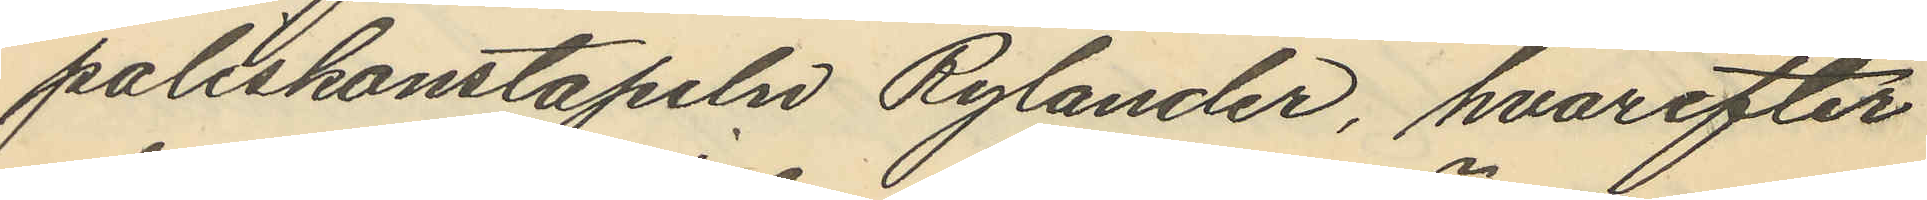poliskonstapeln Rylander, hvarefter
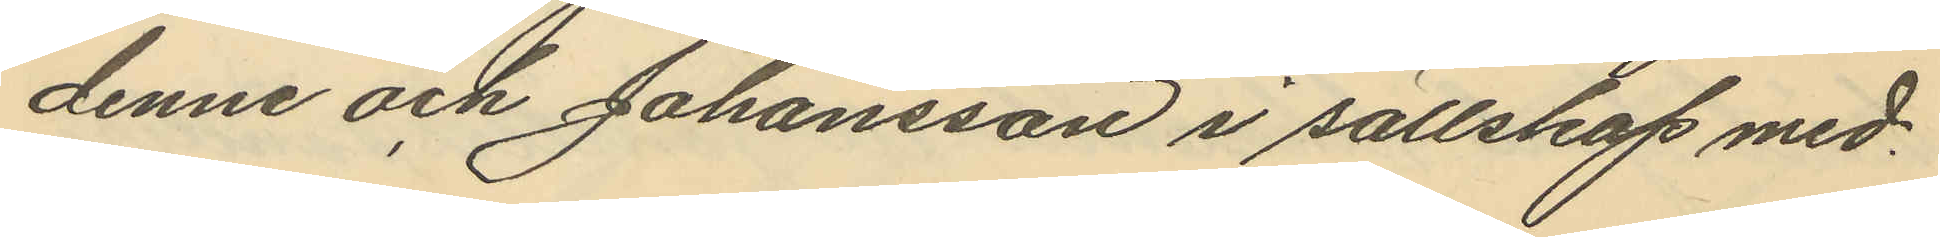denne och Johansson i sällskap med¬
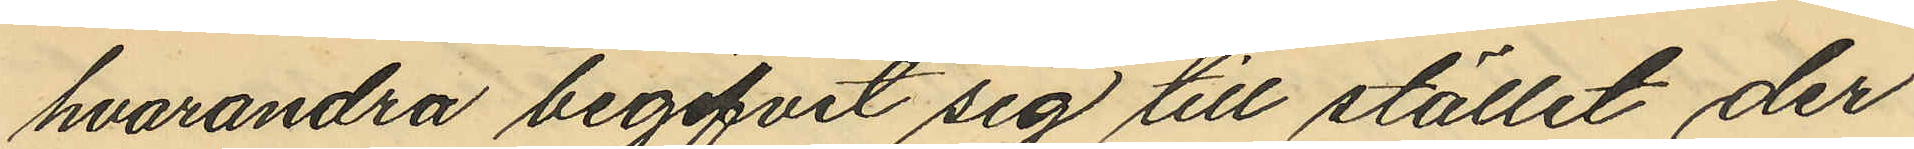hvarandra begifvit sig till stället der
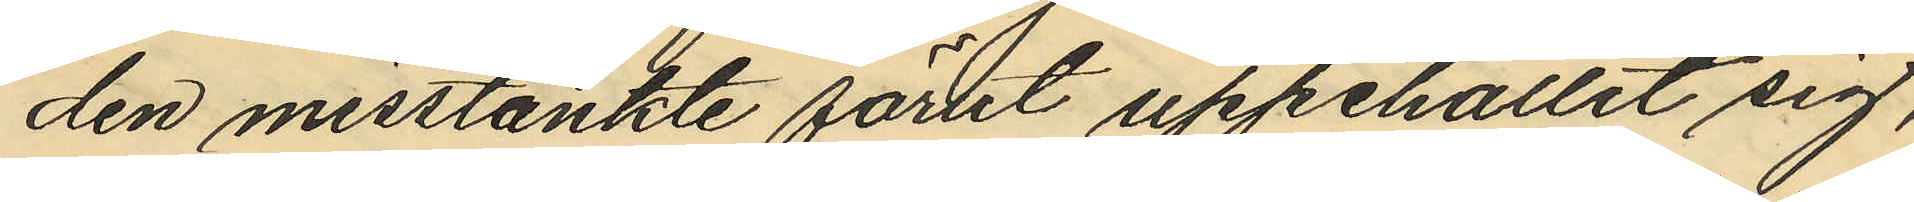den misstänkte förut uppehållit sig,
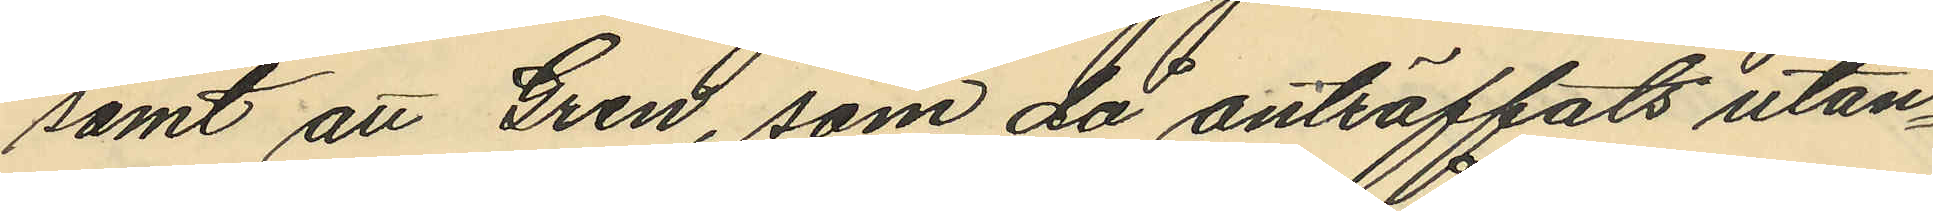samt att Gren, som då anträffats utan¬
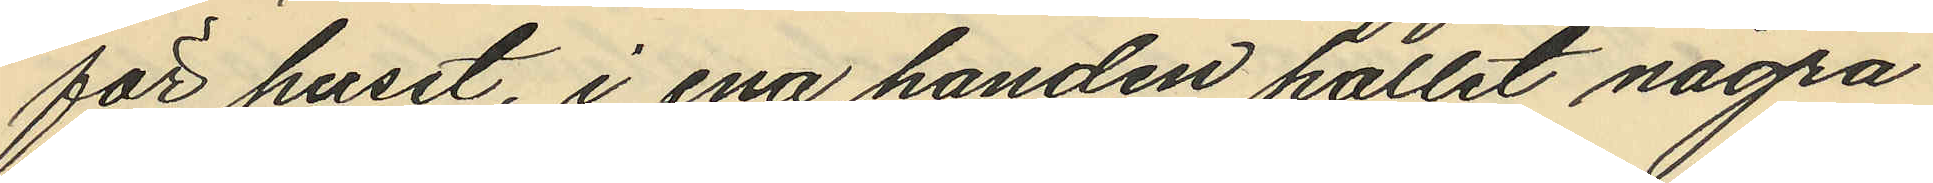för huset, i ena handen hållit några
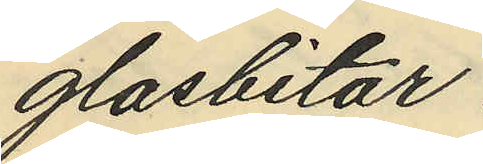glasbitar.
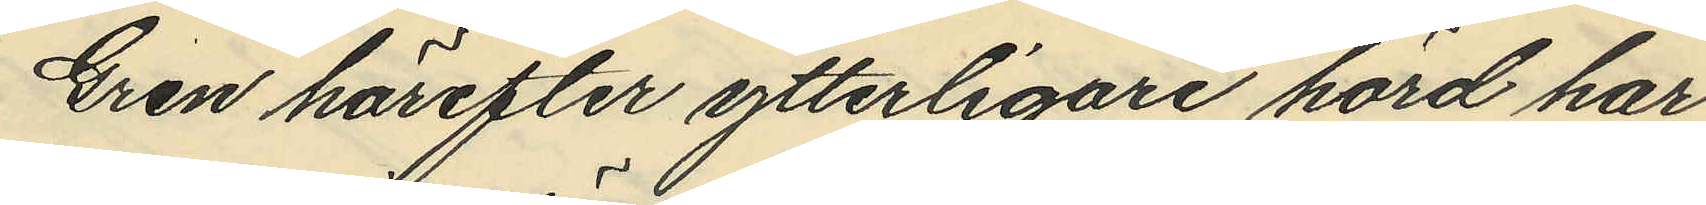Gren härefter ytterligare hörd har
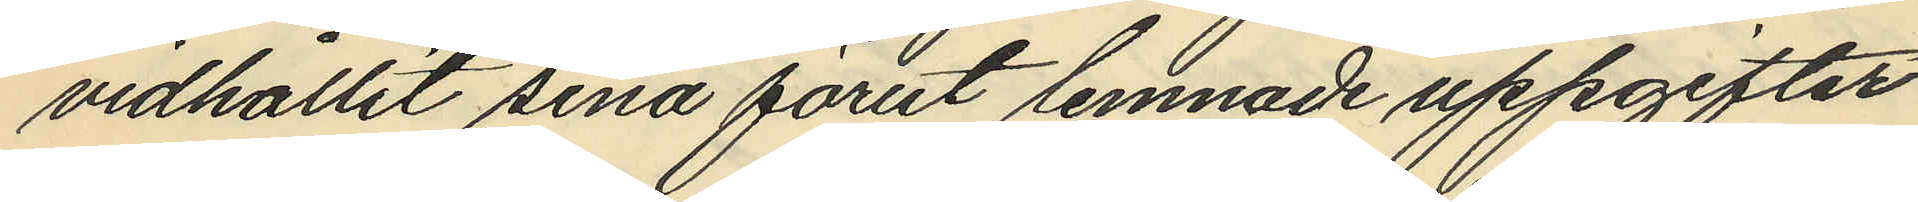vidhållit sina förut lemnade uppgifter
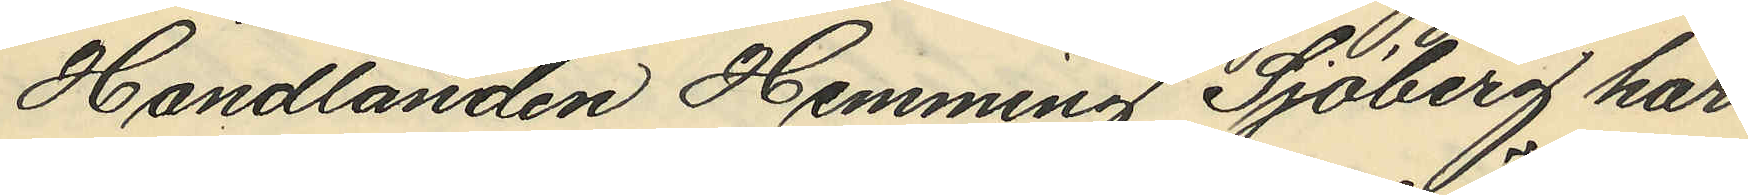Handlanden Hemming Sjöberg har
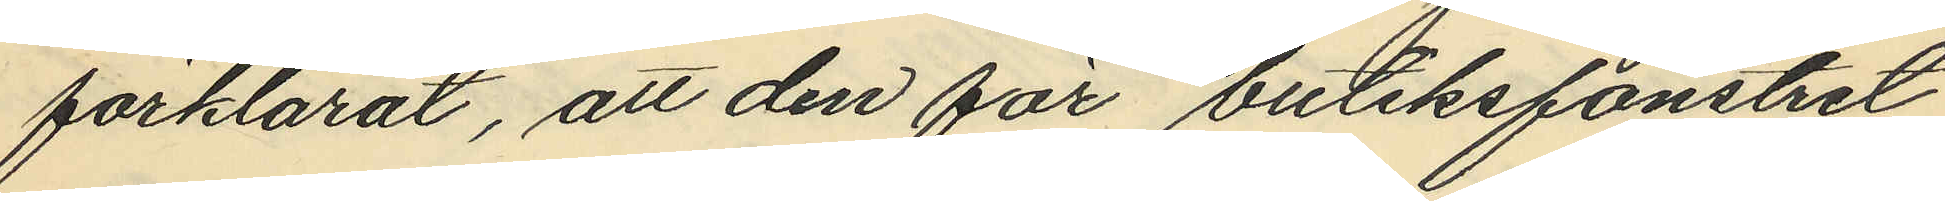förklarat, att den för butiksfönstret
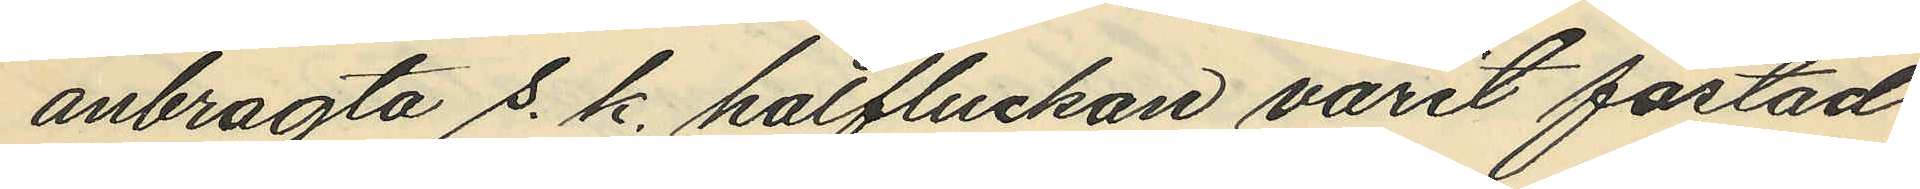anbragta s. k. halfluckan varit fästad
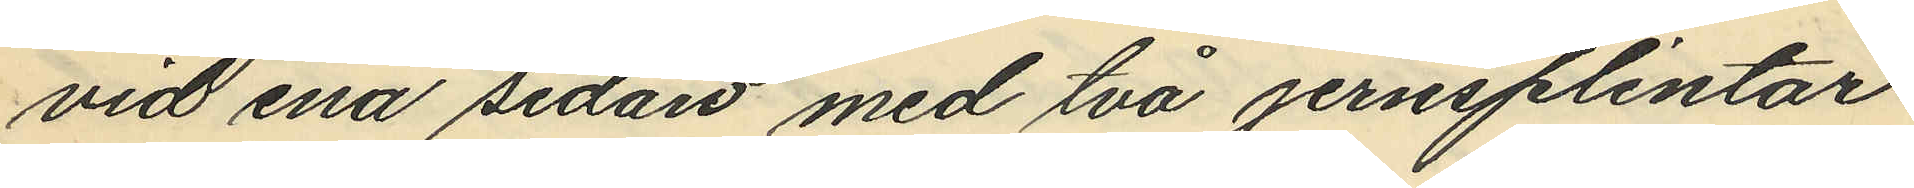vid ena sidan med två jernsplintar
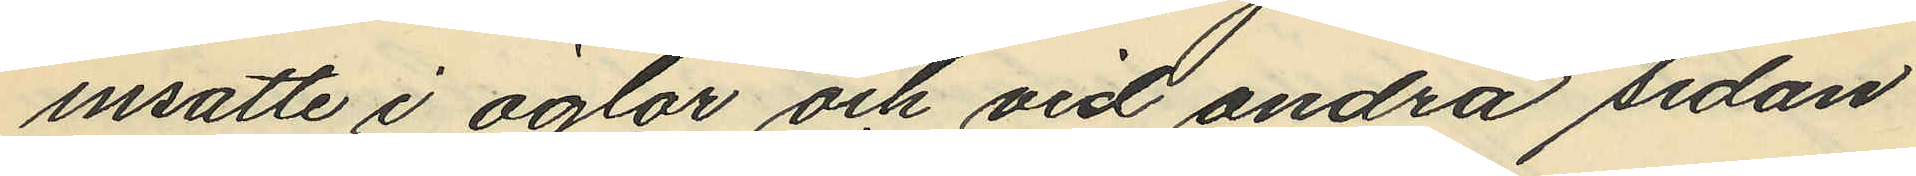insatte i öglor och vid andra sidan
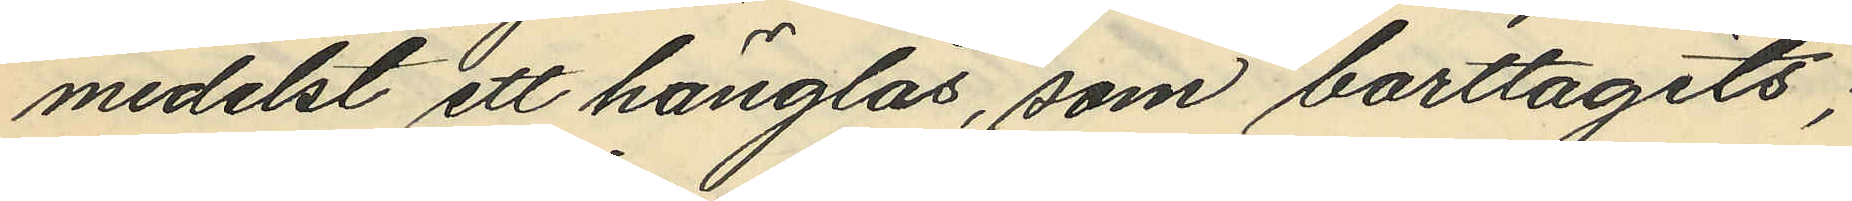medelst ett hänglås, som borttagits;
